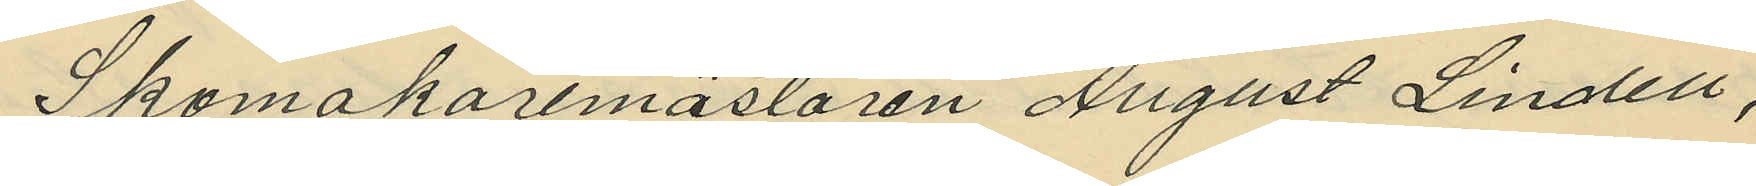Skomakaremästaren August Lindell,
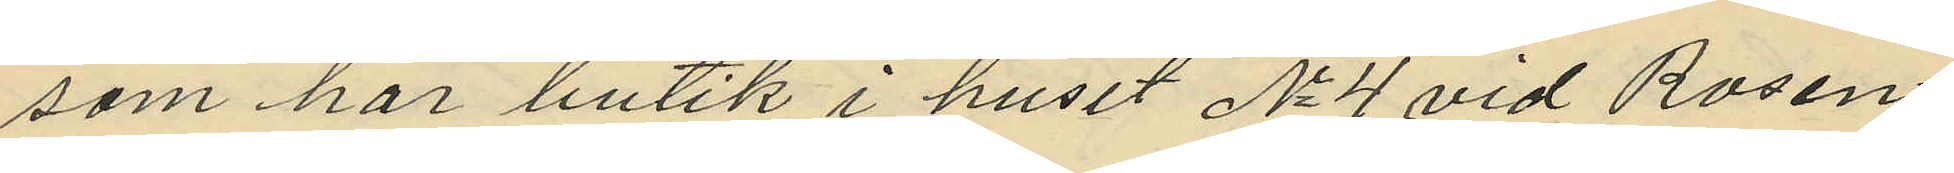som har butik i huset No 4 vid Rosen¬
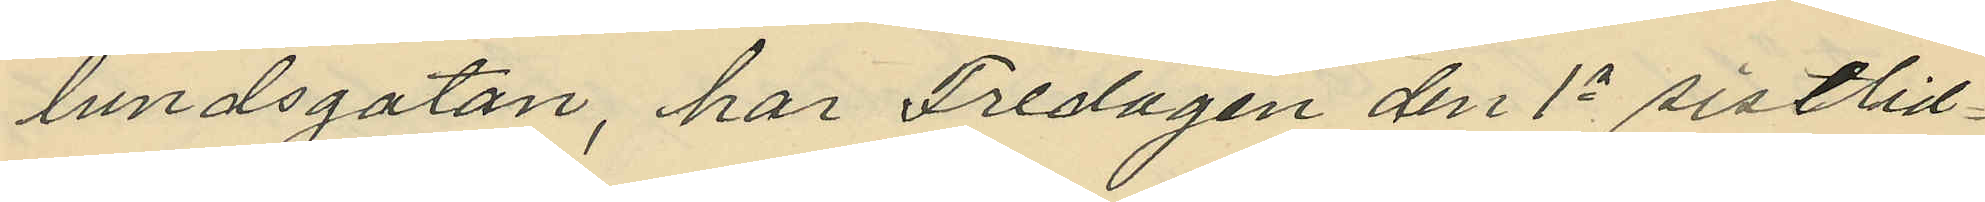lundsgatan, har Fredagen den 1a sistlid¬
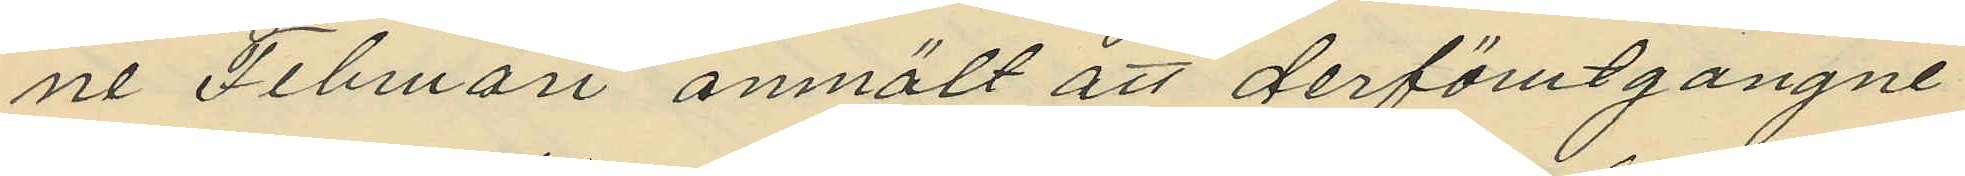ne Februari anmält att derförutgångne
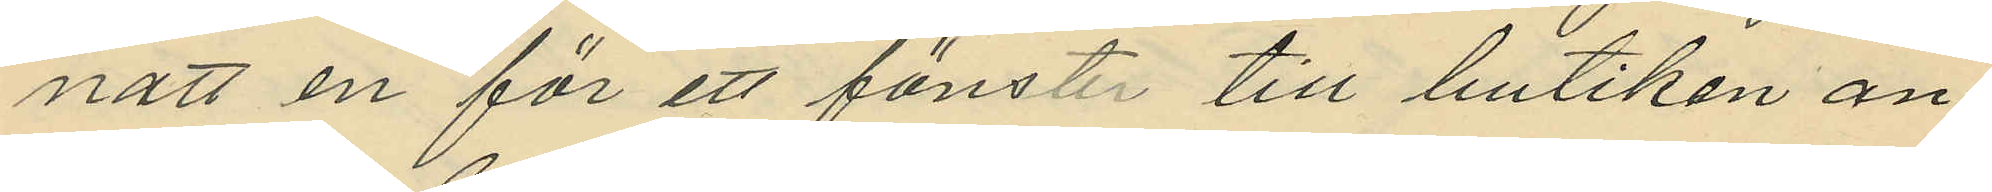natt en för ett fönster till butiken an¬
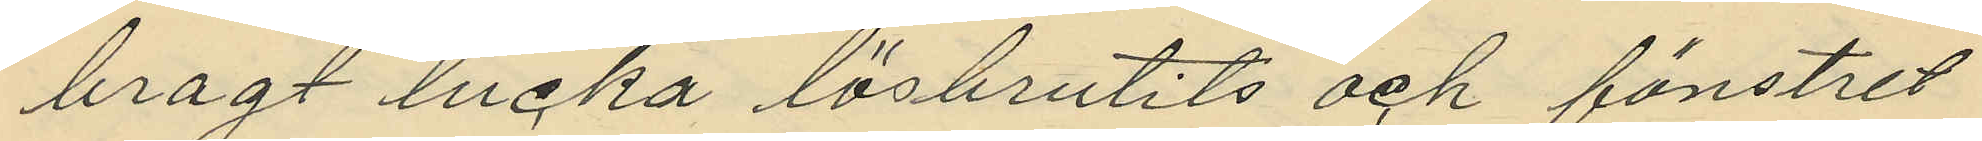bragt lucka lösbrutits och fönstret
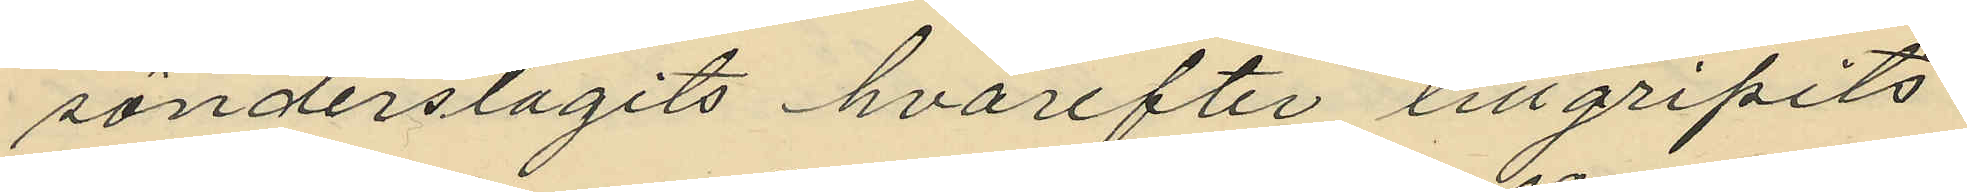sönderslagits hvarefter tillgripits
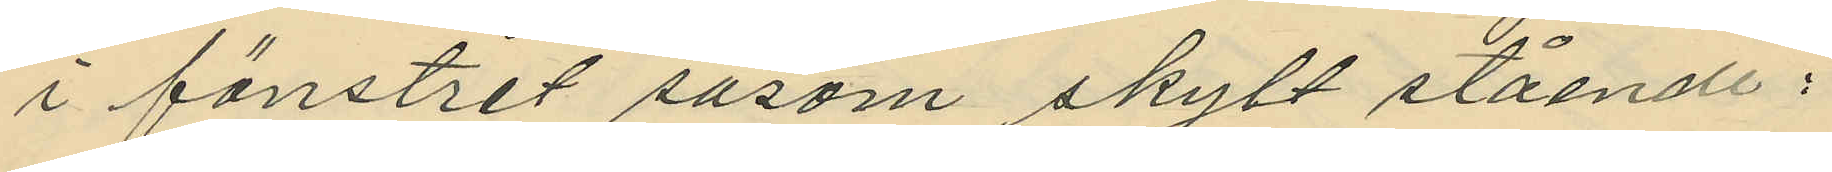i fönstret såsom skylt stående:
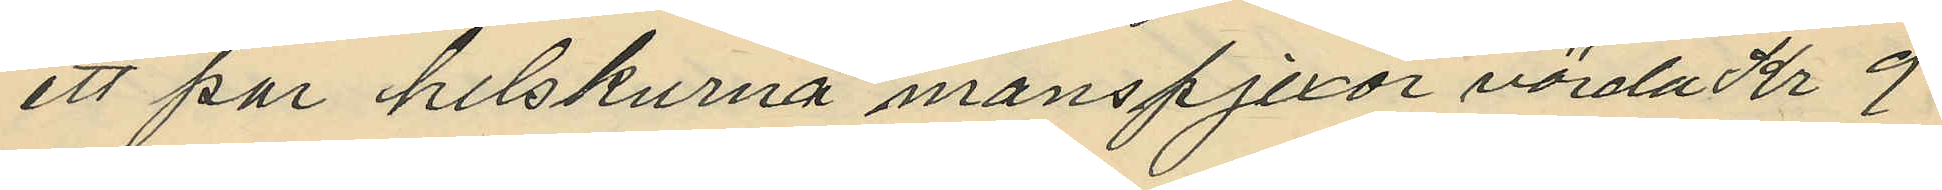ett par helskurna manspjexor värda Kr 9
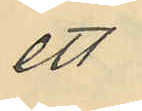ett
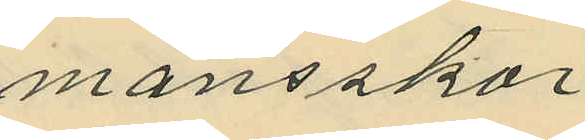mansskor
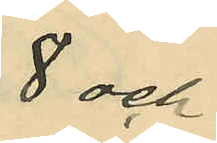8 och
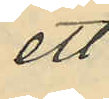ett
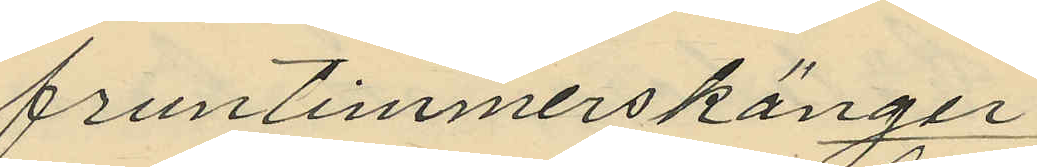fruntimmerskänger
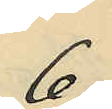6
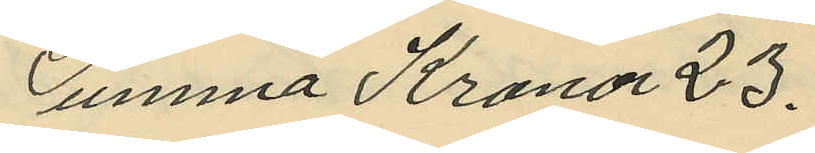Summa Kronor 23.
